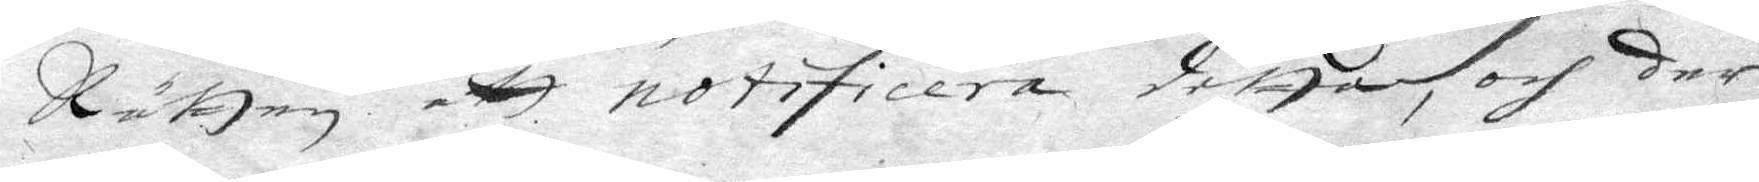Rätten att notificera detta, och der
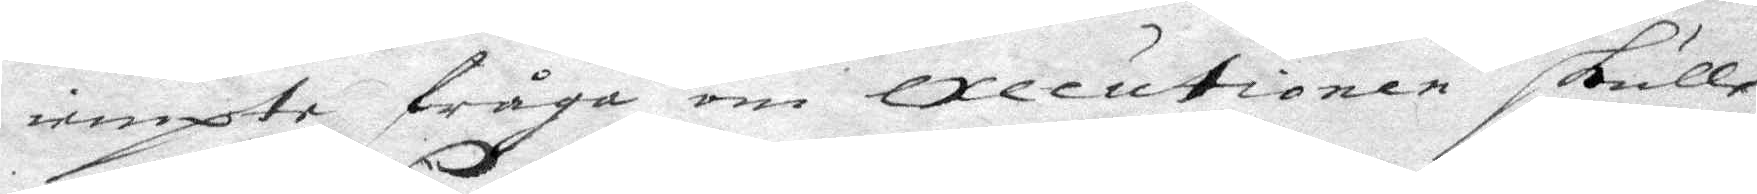iempte fråga om Executionen skulle
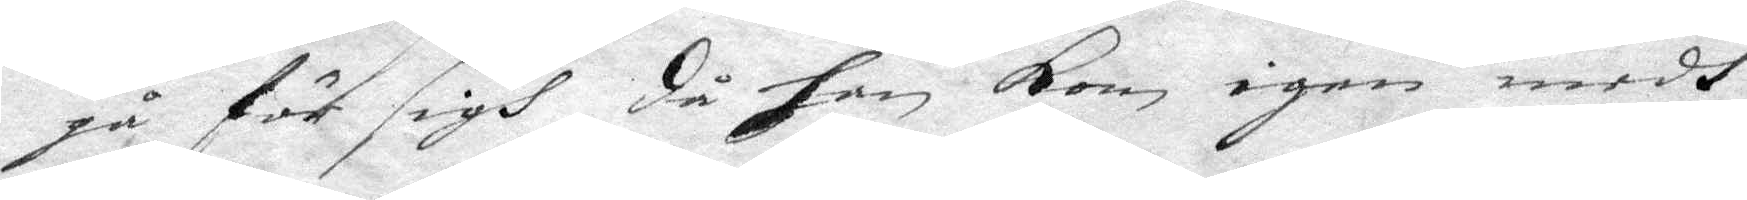gå för sigh, då han kom igen medh
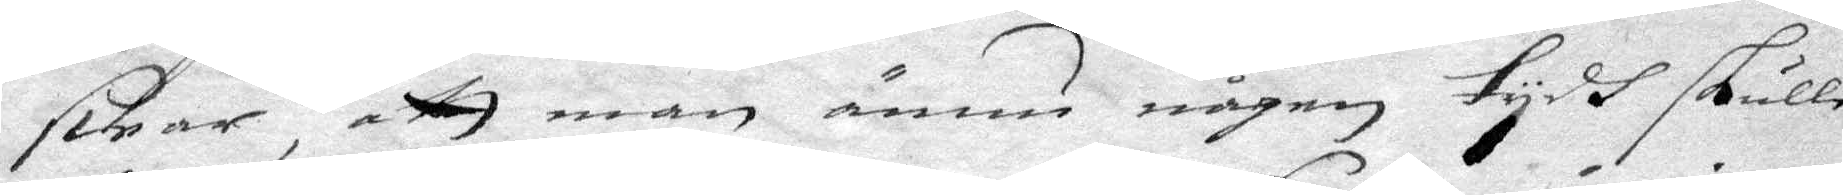swar, att man ännu någon tydh skulle
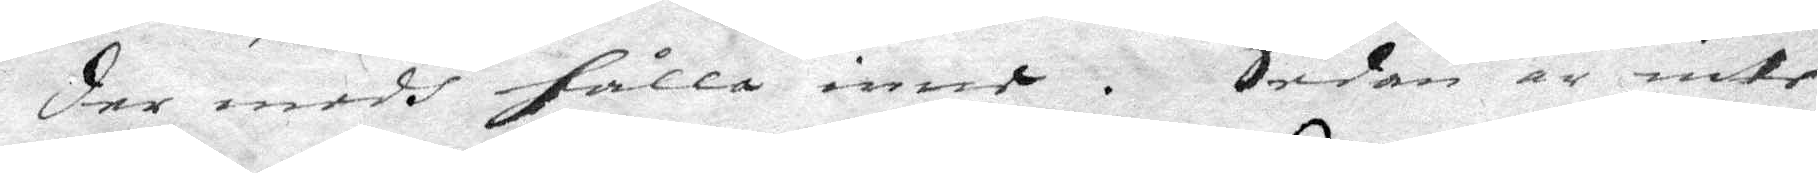der medh hålla inne. Sedan är inte
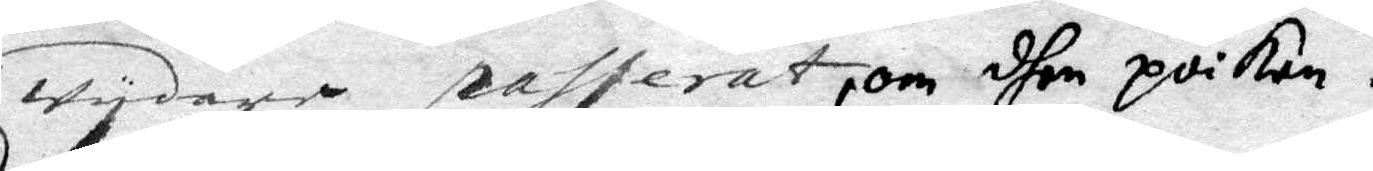wydare passerat, om dhen poiken.
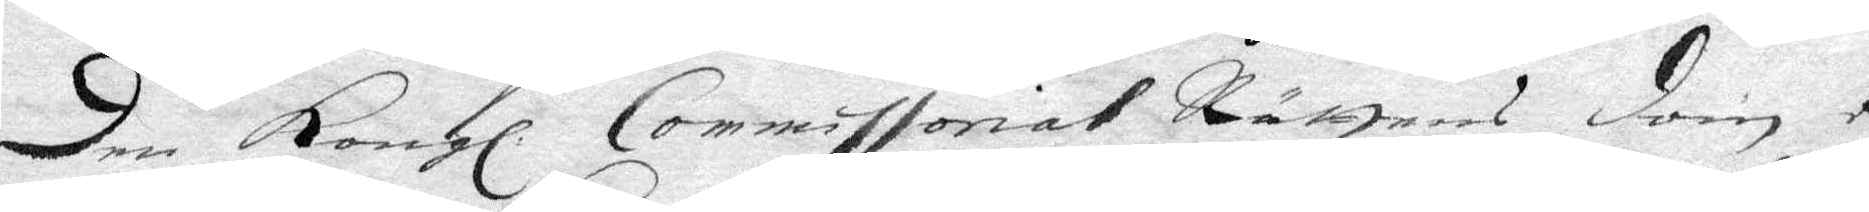N o 19. den Kongl. Commissorial Rättens dom e¬
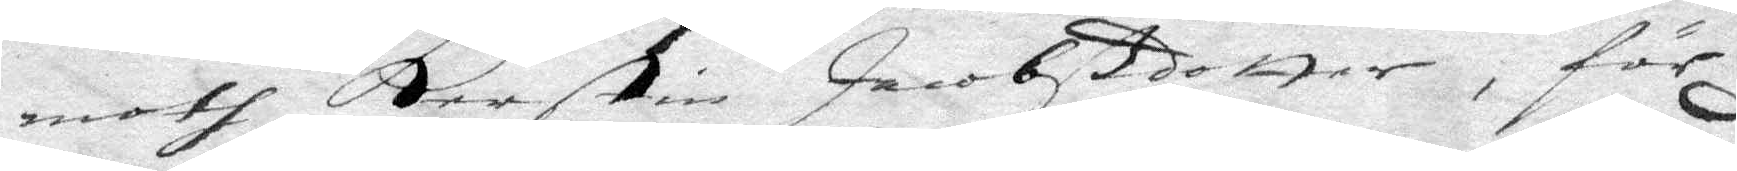moth Kerstin Jacobzdotter, för
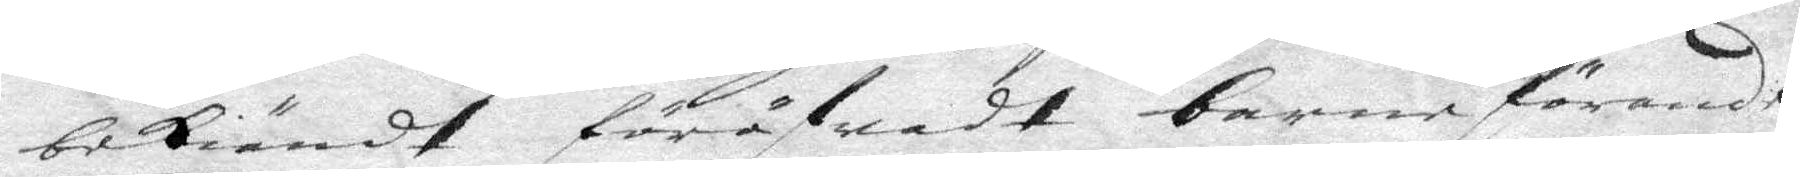bekiändt föröfwat barnaförande
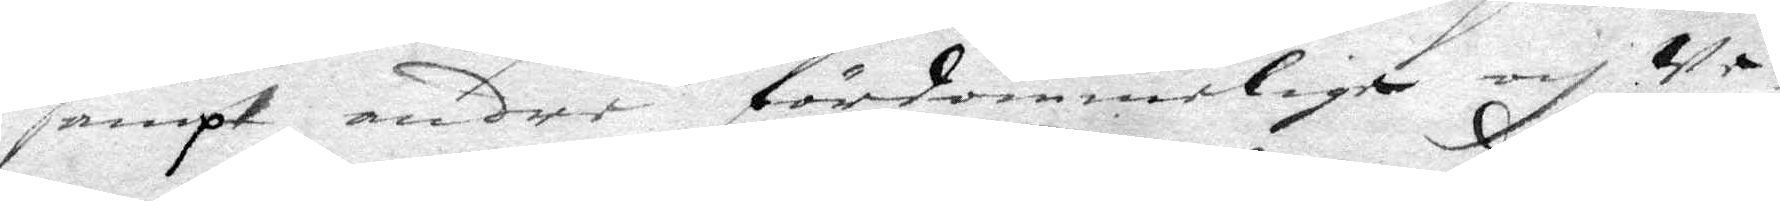sampt andre fördömmelige och we¬
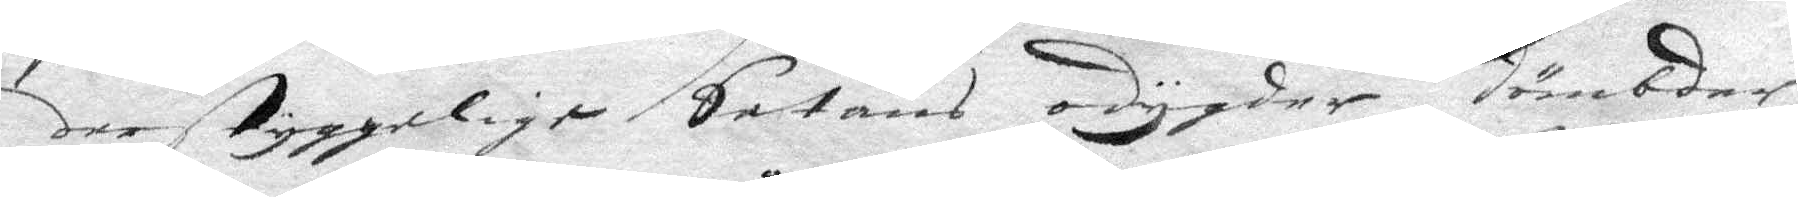derStyggelige Satans odygder, dömbder
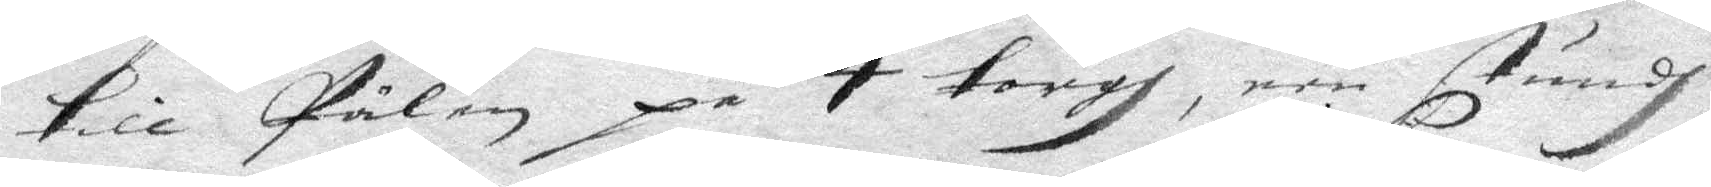till Pålen på 4 torgh, een stundh
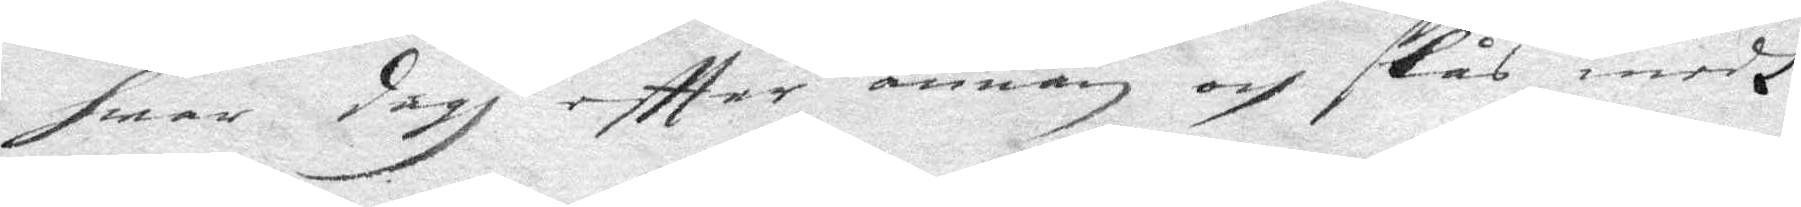hwar dagh effter annan och slås medh
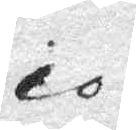10
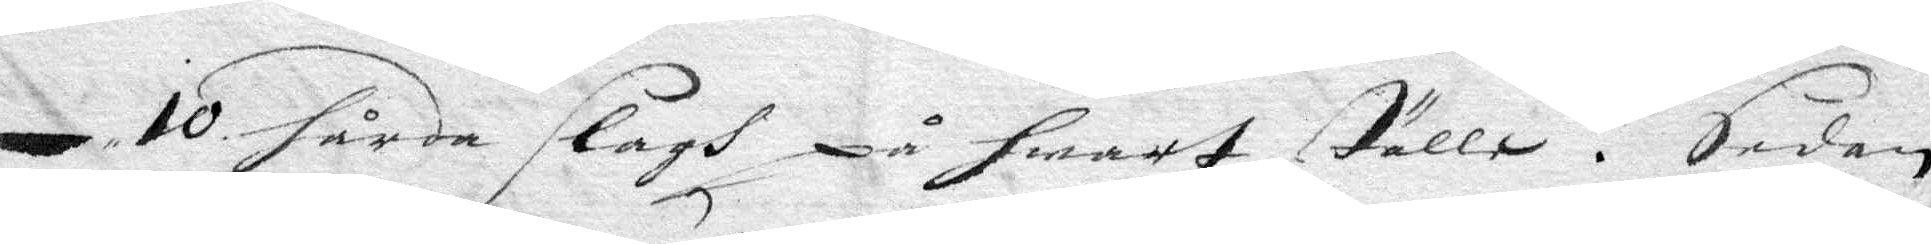10 hårda slagh på hwart ställe. Sedan 
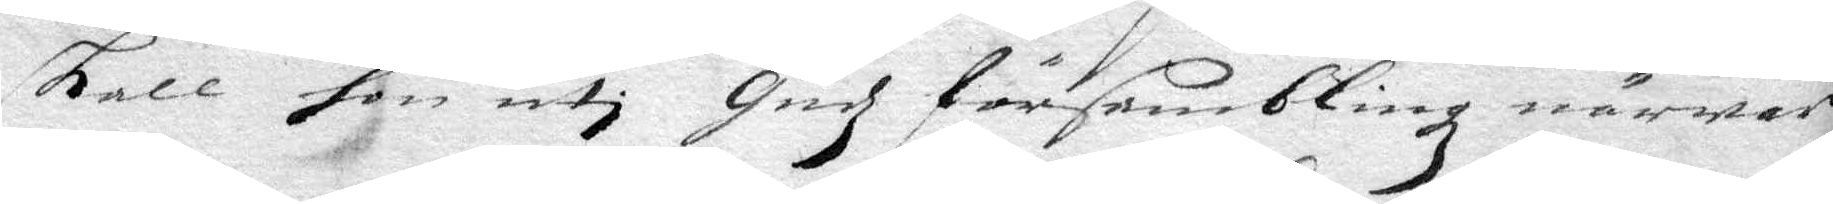skall hon uti Gudz försambling närwaro
